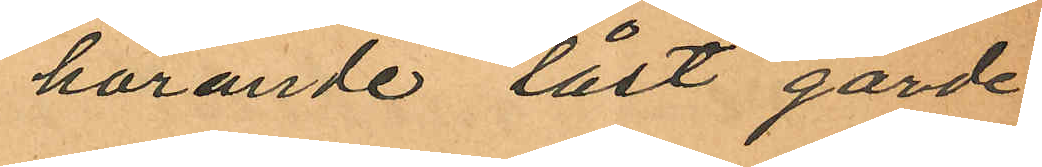hörande låst garde¬
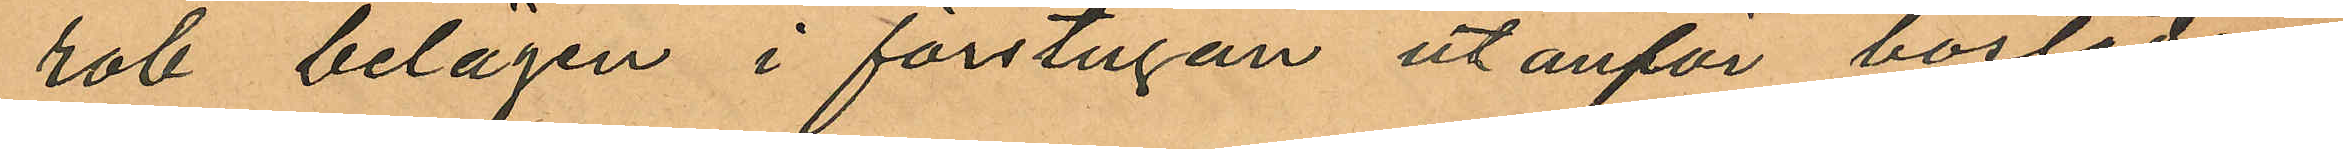rob belägen i förstugan utanför bostaden
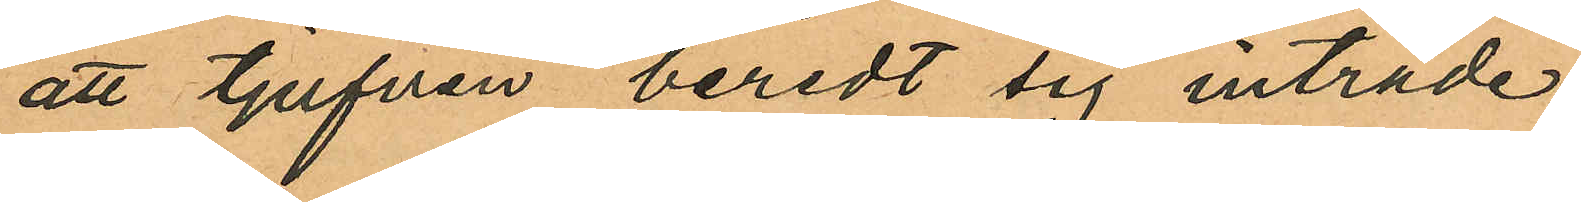att tjufven beredt sig inträde
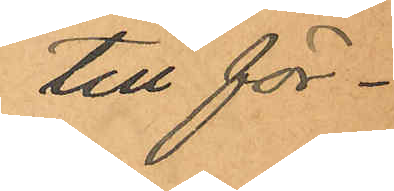till för¬
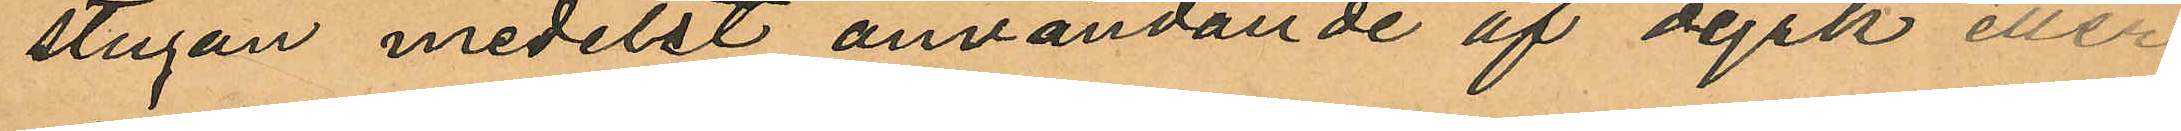stugan medelst användande af dyrk eller
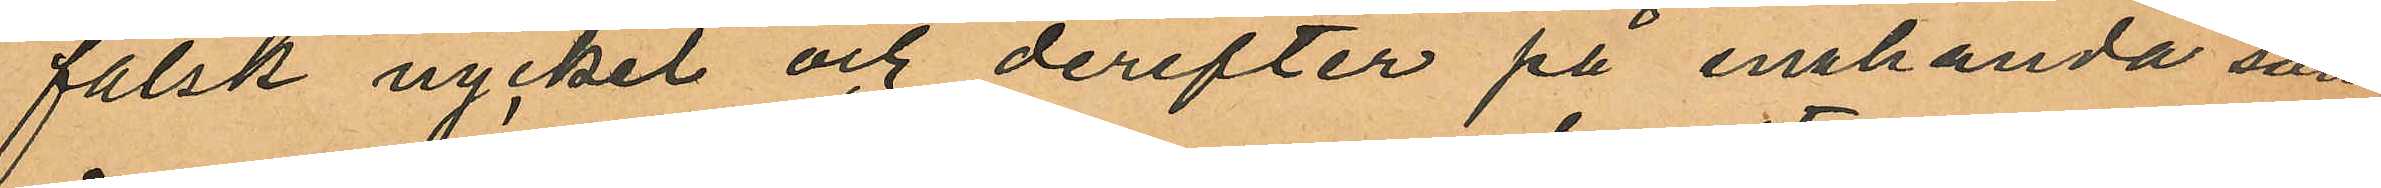falsk nyckel och derefter på enahanda sätt
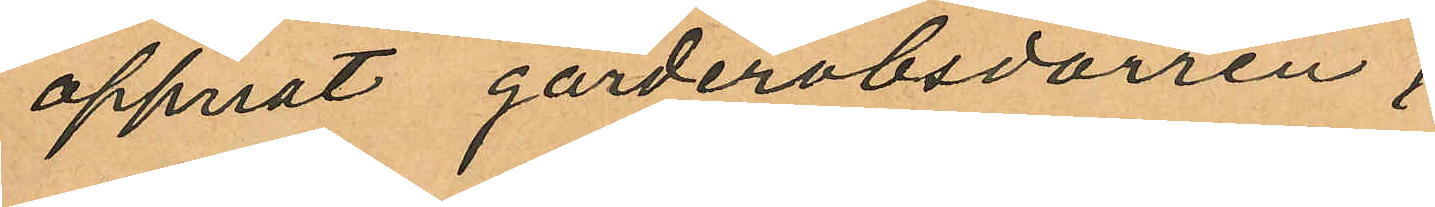öppnat garderobsdörren;
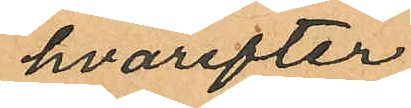hvarefter
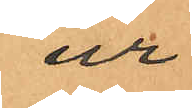ur
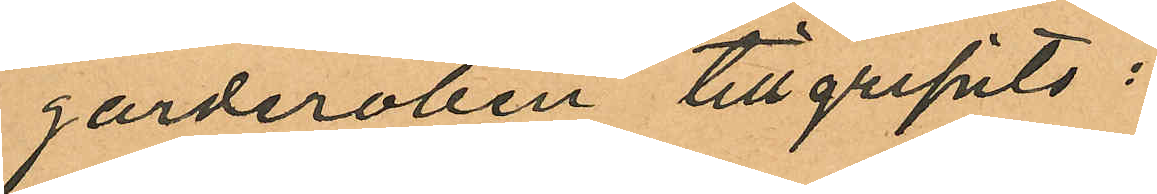garderoben tillgripits:
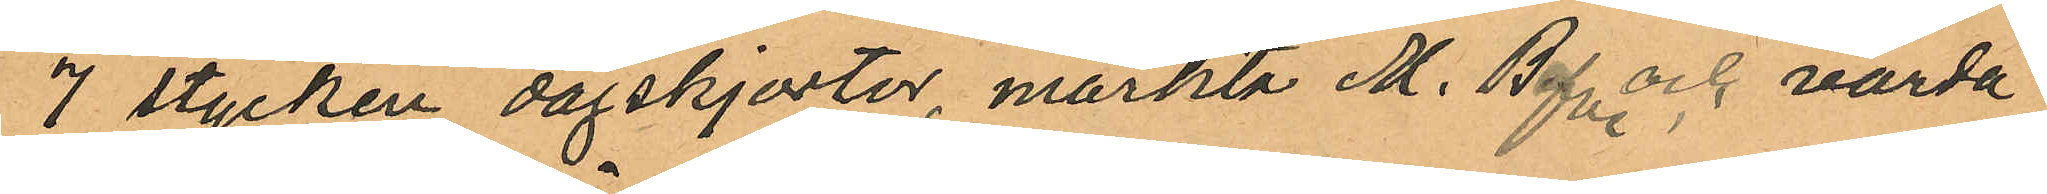7 stycken dagskjortor, märkta M. Befve och värda
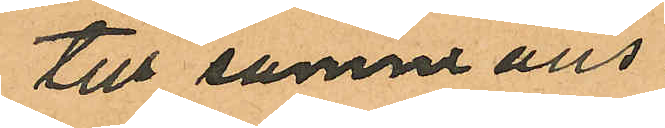till sammans
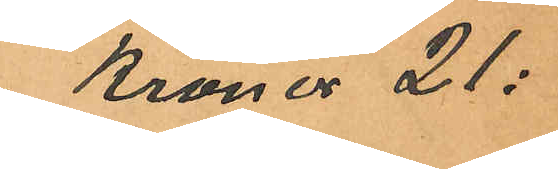Kronor 21:
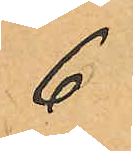6
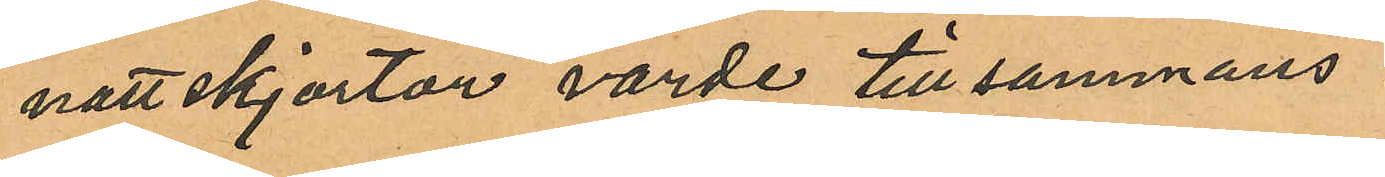nattskjortor, värde tillsammans
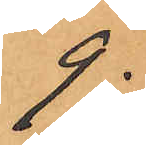9:
